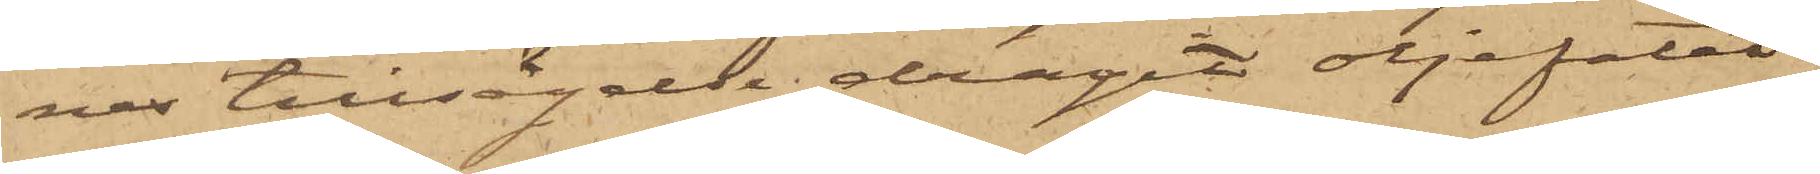nes tillsägelse dragit oljefatet
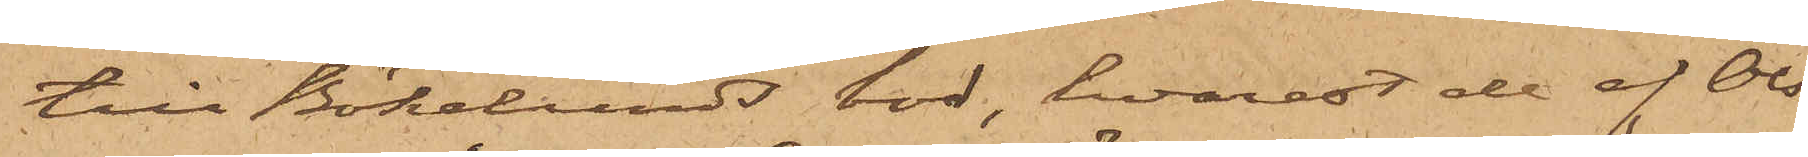till Bökelunds bod, hvarest de af Ols¬
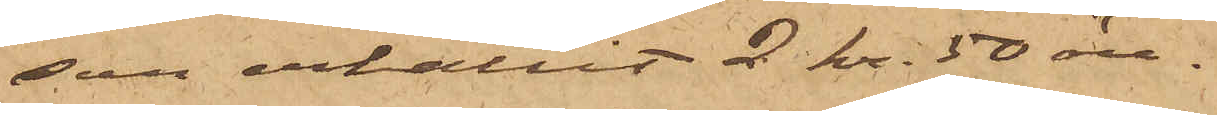son erhållit 2 kr. 50 öre.
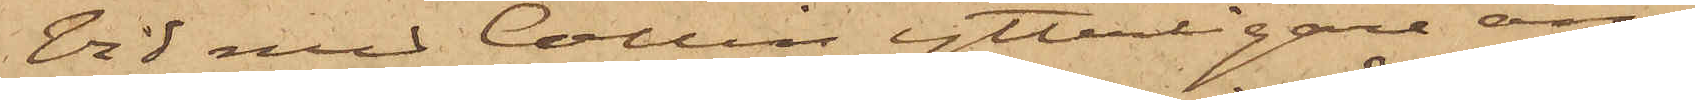Vid med Collin ytterligare an¬
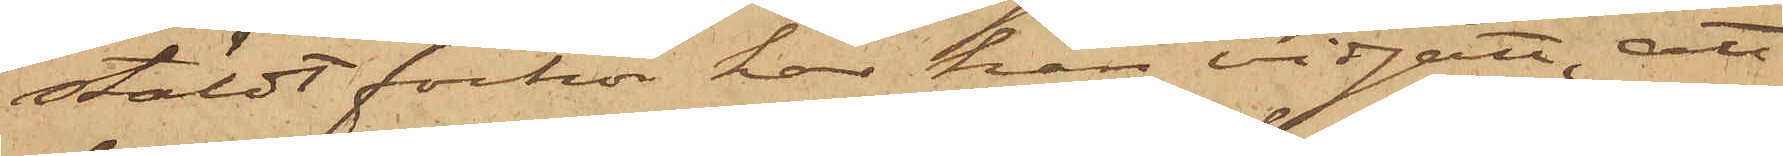stäldt förhör har han vidgått, att
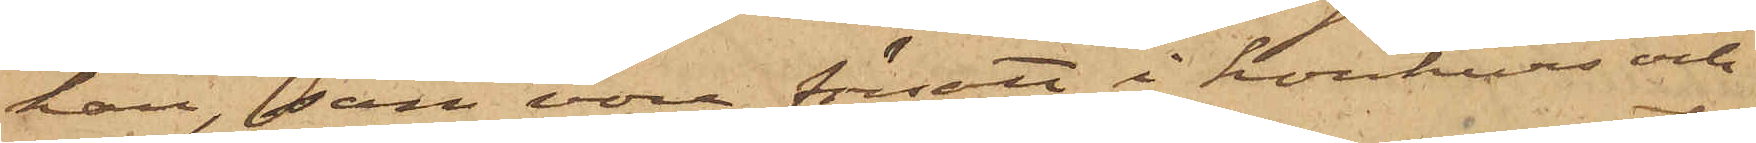han, som vore försatt i konkurs och
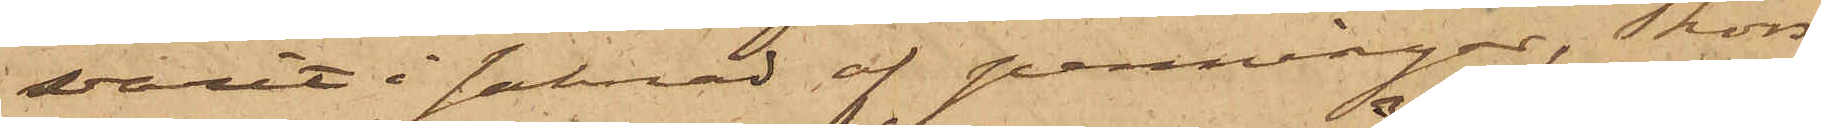varit i saknad af penningar, Thors¬
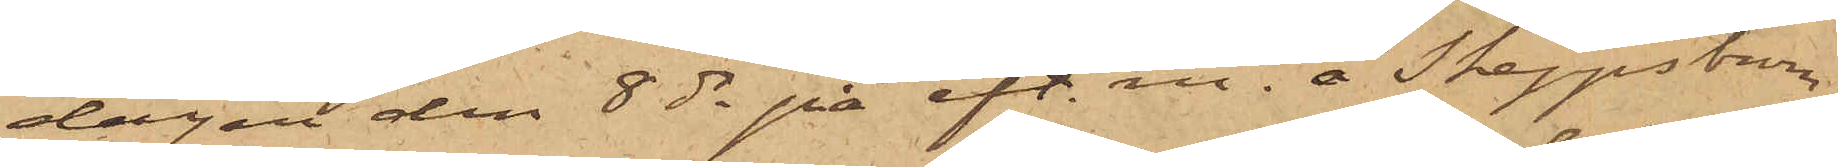dagen den 8 ds på eft. m. å Skeppsbron
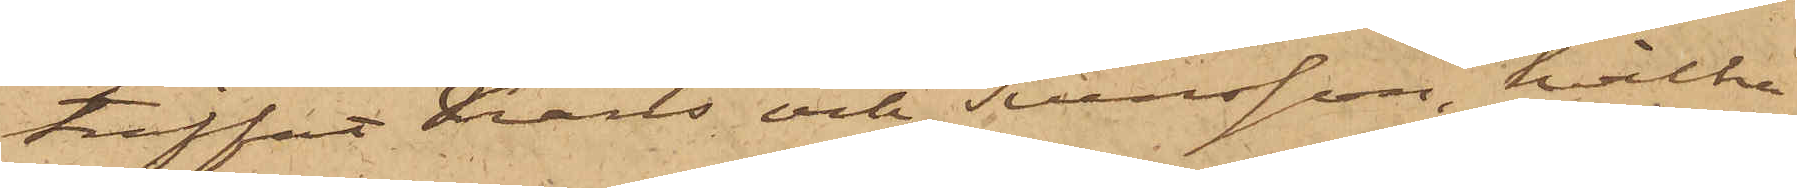träffat Krans och Svensson, hvilka
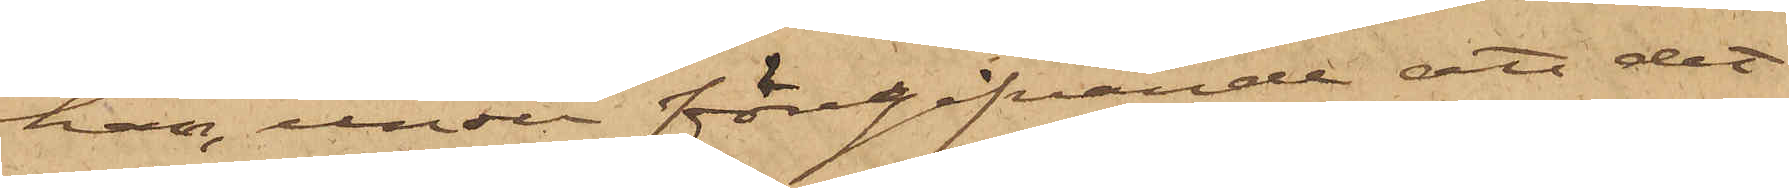han, under föregifvande att det
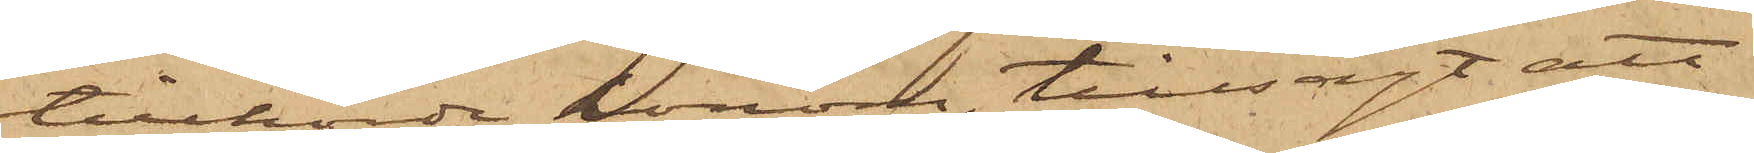tillhörde honom, tillsagt att
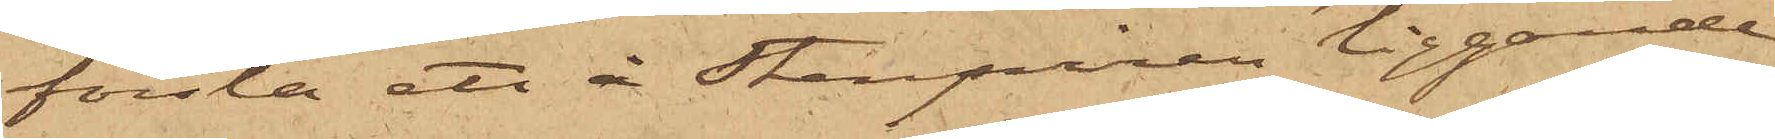forsla ett å Stenpiren liggande
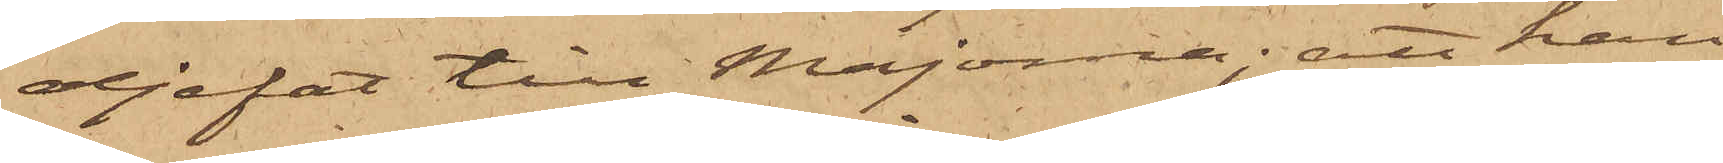oljefat till Majorna; att han
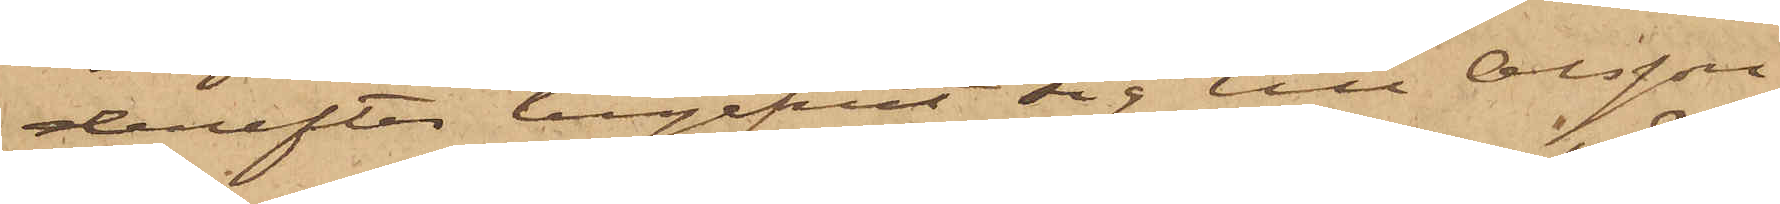derefter begifvit sig till Olsson,
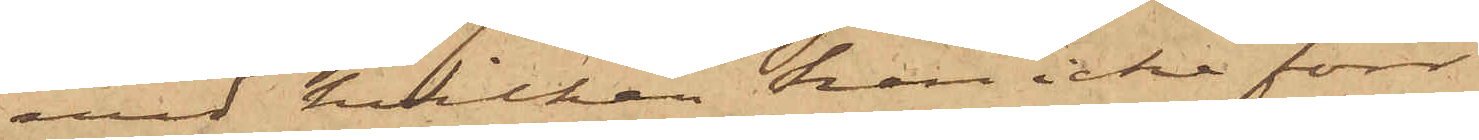med hvilken han icke förr
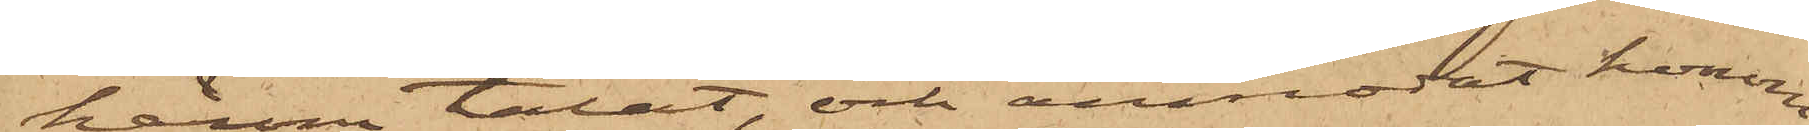härom talat, och anmodat honom
